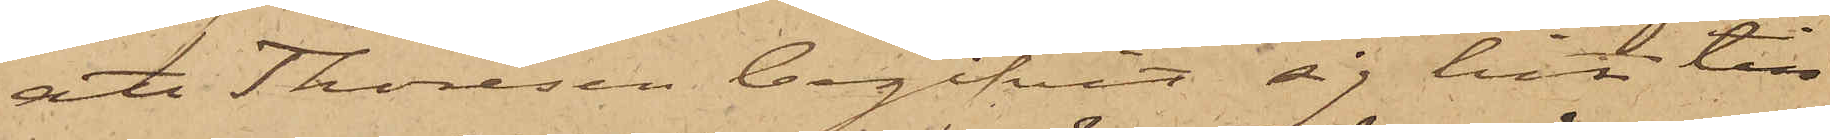att Thoresen begifvit sig hit till
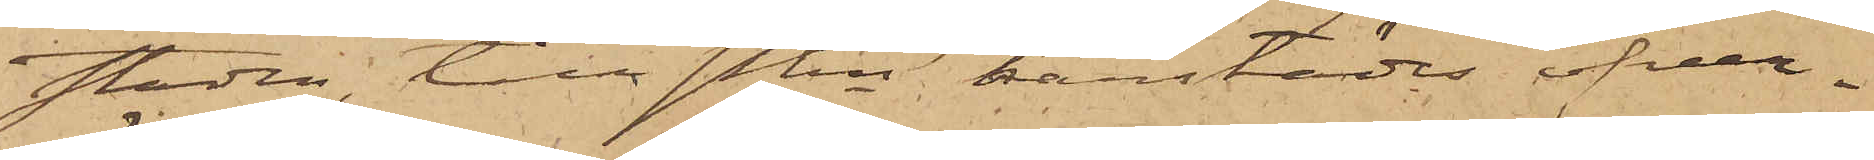staden, till Pkn härstädes öfver¬
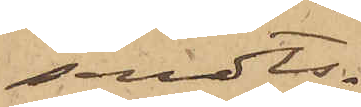sändts.
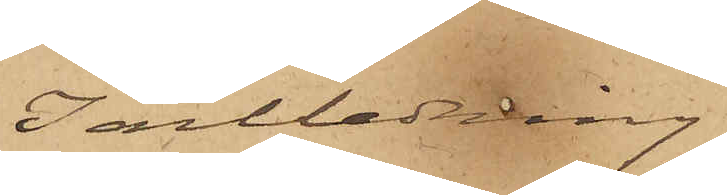I anledning
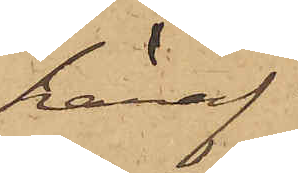häraf
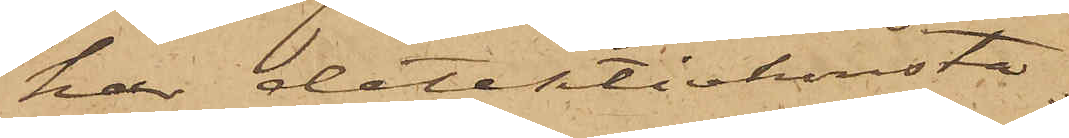har detektivkonsta¬
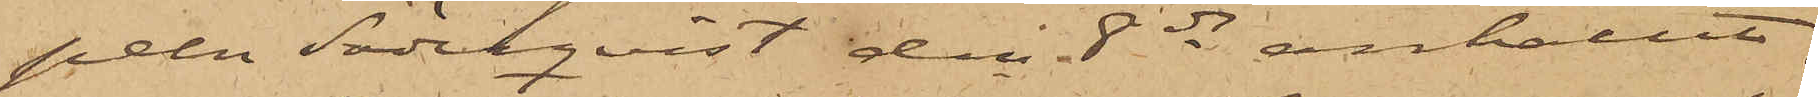peln Söderquist den 8 ds anhållit
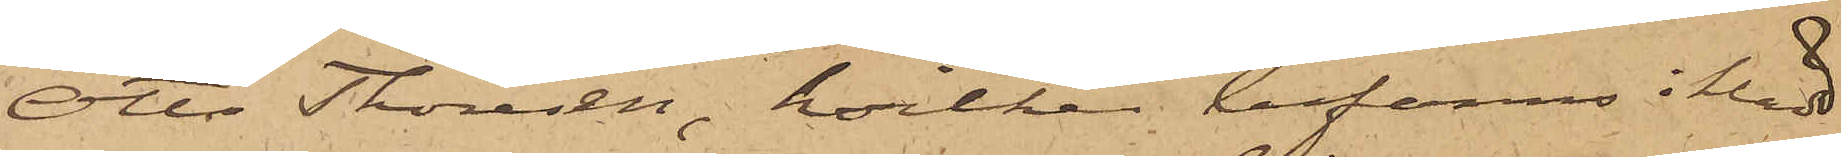Otto Thoresen, hvilken befanns iklädd
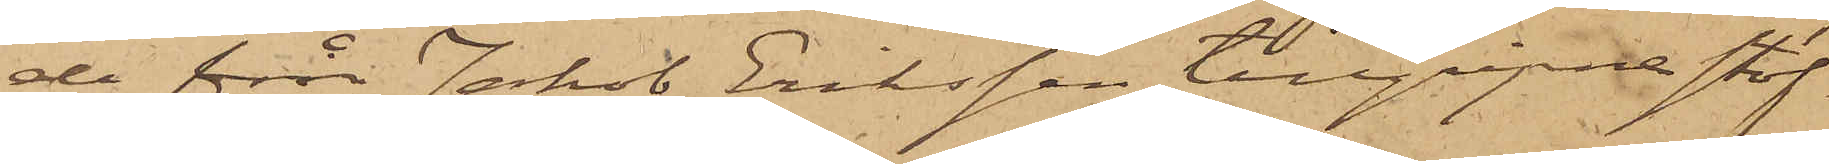de från Jakob Eriksson tillgripits stöf¬
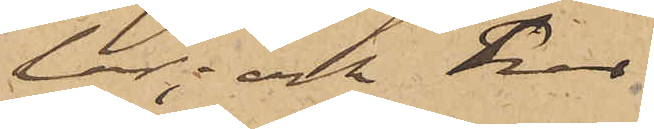lar; och har
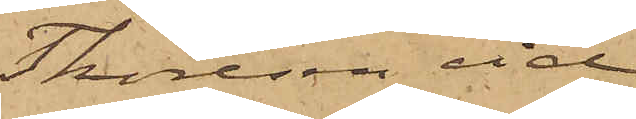Thoreson vid
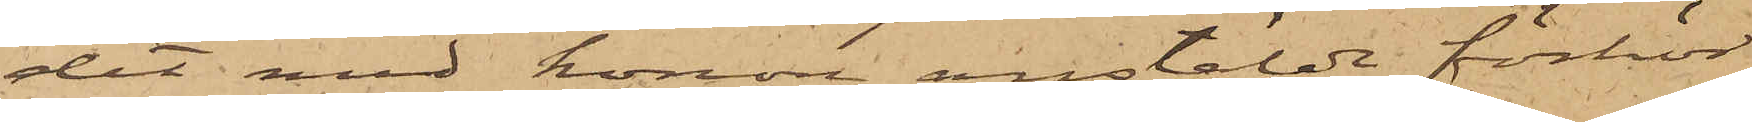det med honom anstäldt förhör
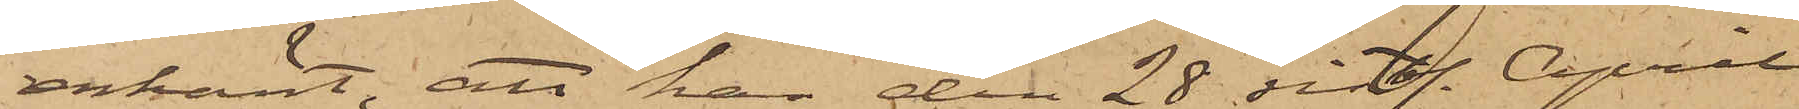erkänt, att han den 28 sistl. April
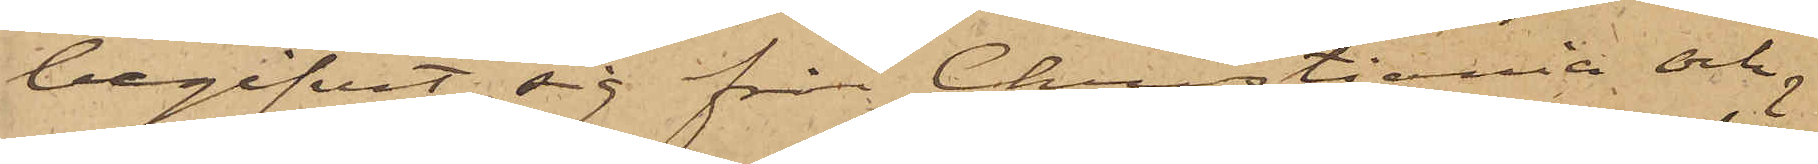begifvit sig från Christiania och
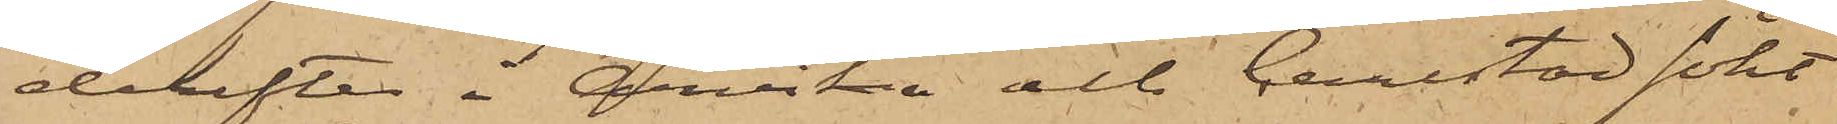derefter i Arvika och Carlstad sökt
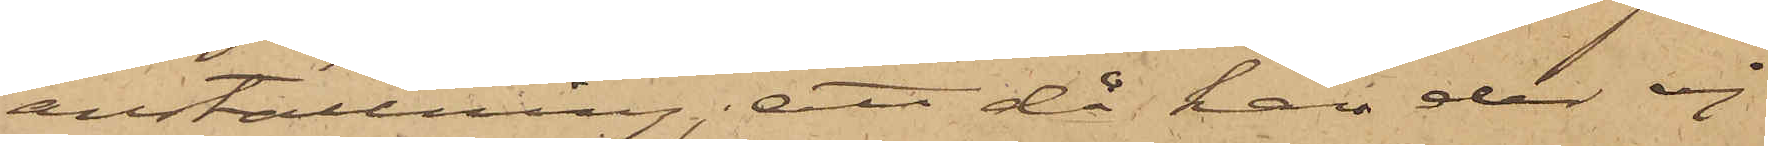anställning; att då han der ej
